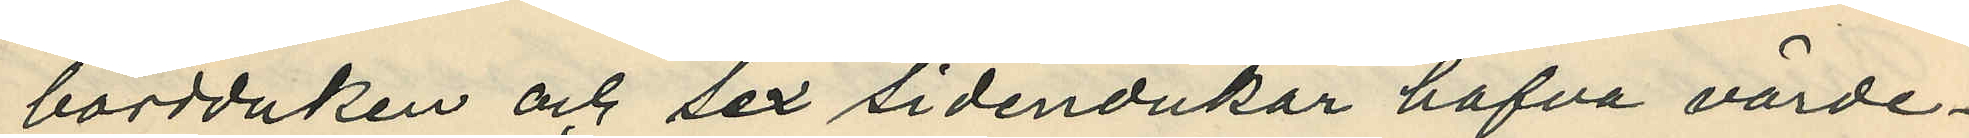bordduken och sex sidendukar hafva värde¬
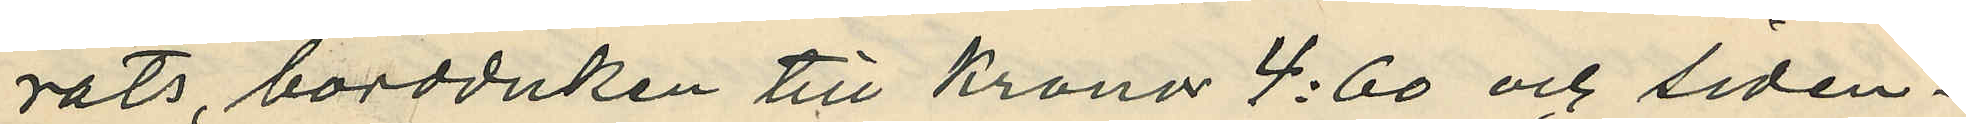rats, bordduken till Kronor 4:60 och siden¬
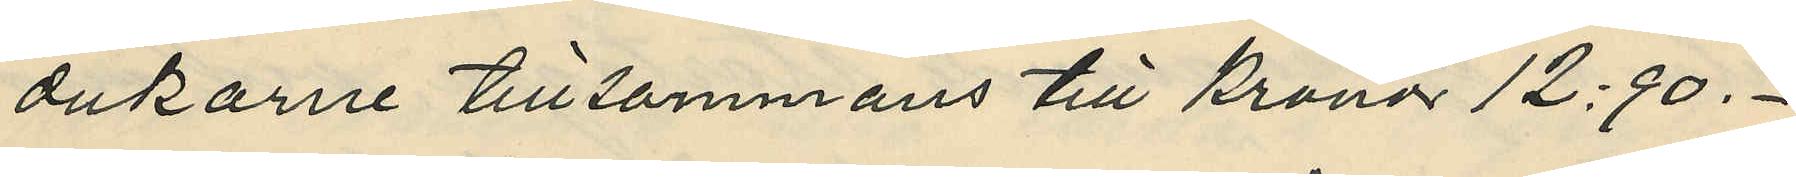dukarne tillsammans till Kronor 12:90.
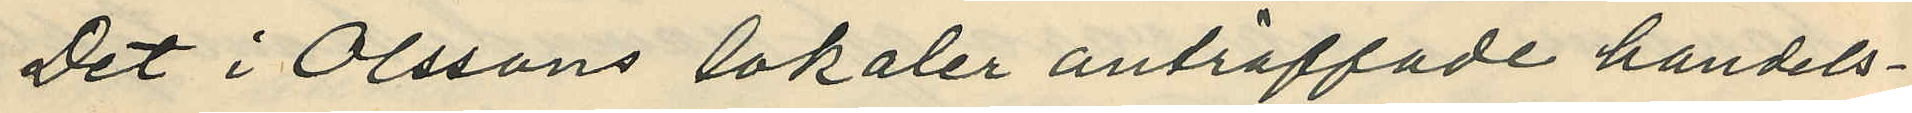Det i Olssons lokaler anträffade handels¬
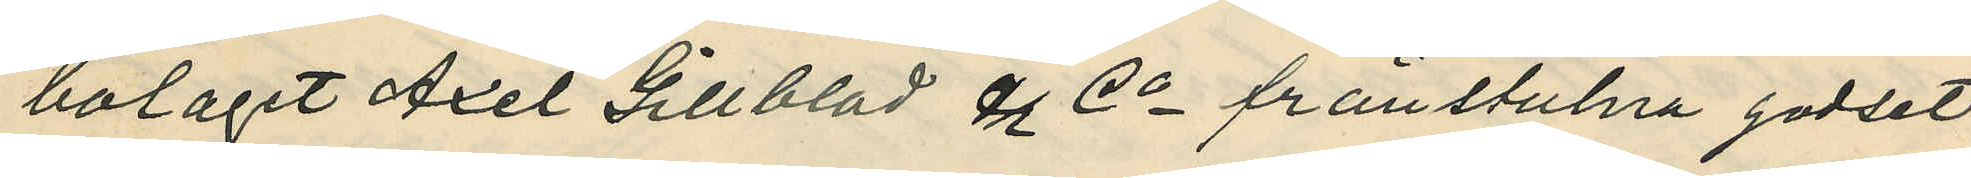bolaget Axel Gillblad & Co frånstulna godset
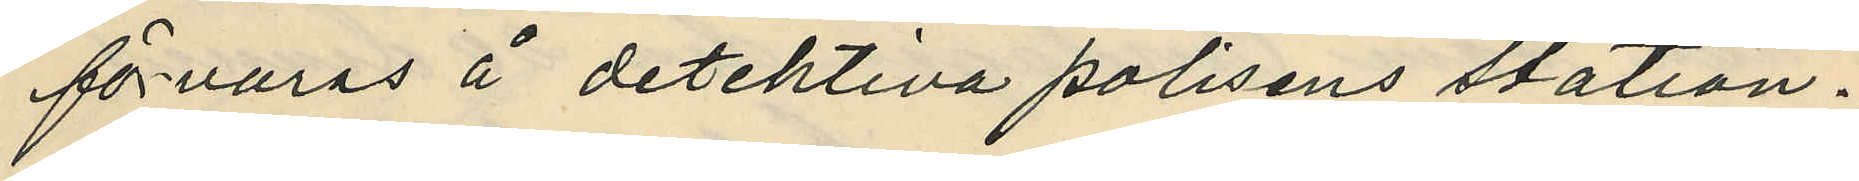förvaras å detektiva polisens station.
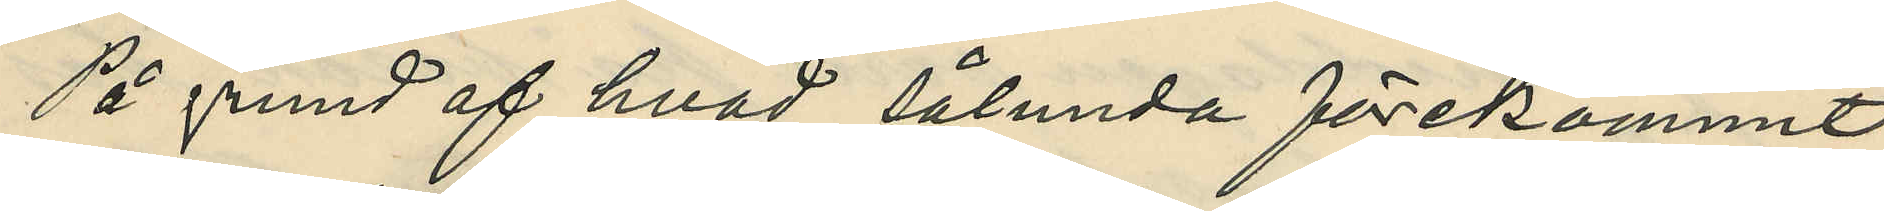På grund af hvad sålunda förekommit
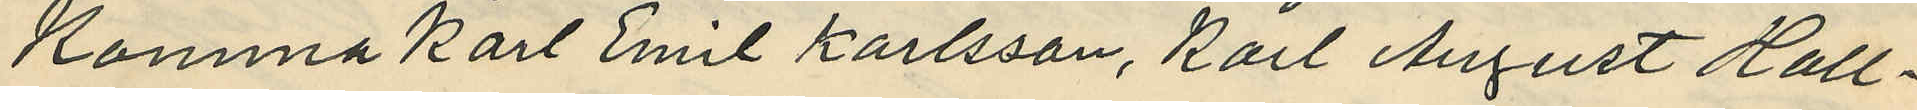komma Karl Emil Karlsson, Karl August Hall¬
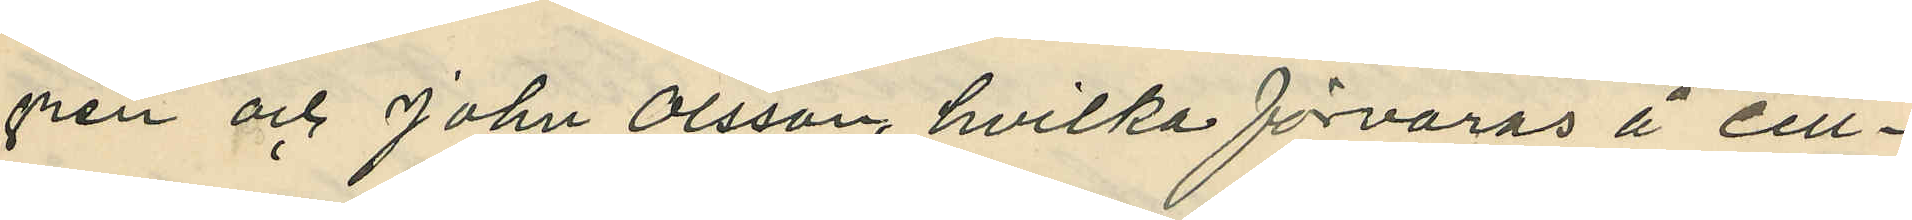gren och John Olsson, hvilka förvaras å cell¬
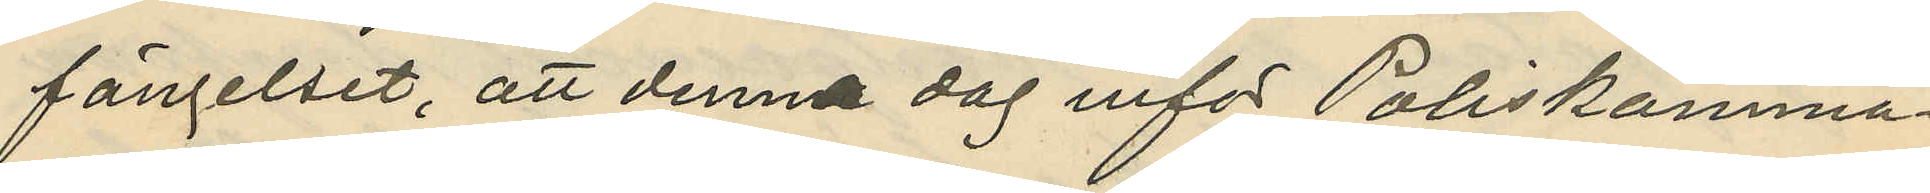fängelset, att denna dag inför Poliskamma¬
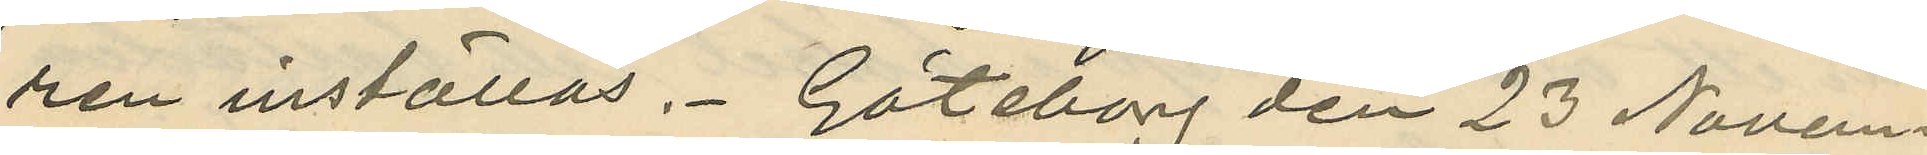ren inställas. Göteborg den 23 Novem¬
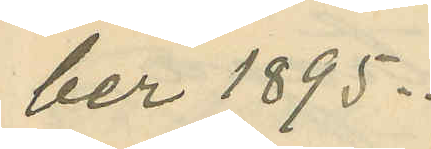ber 1895.
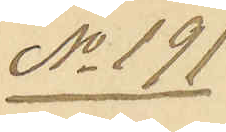No 191
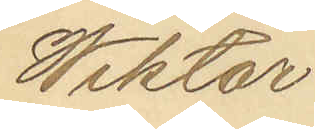Wiktor
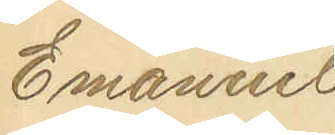Emanuel
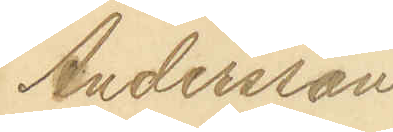Andersson
